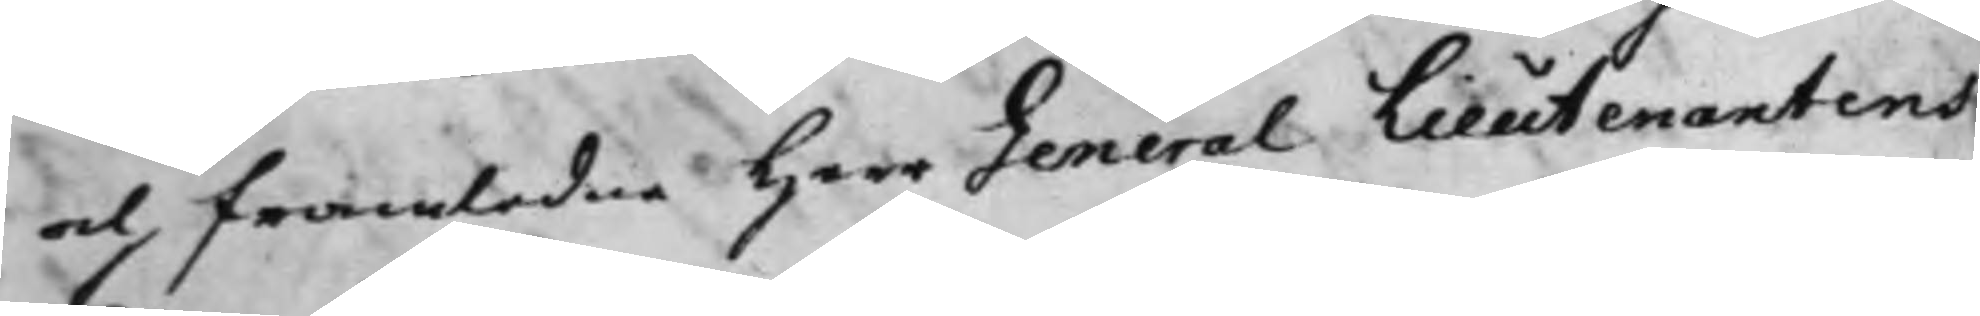och framledne Herr General Lieutenantens
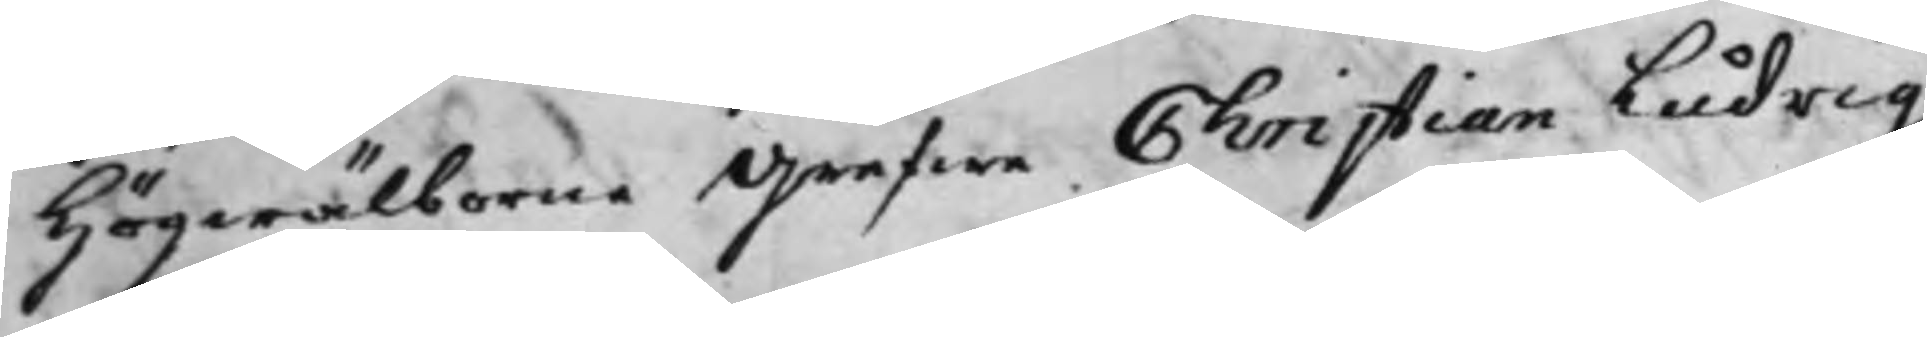Högwälborne Grefwe Christian Ludvig
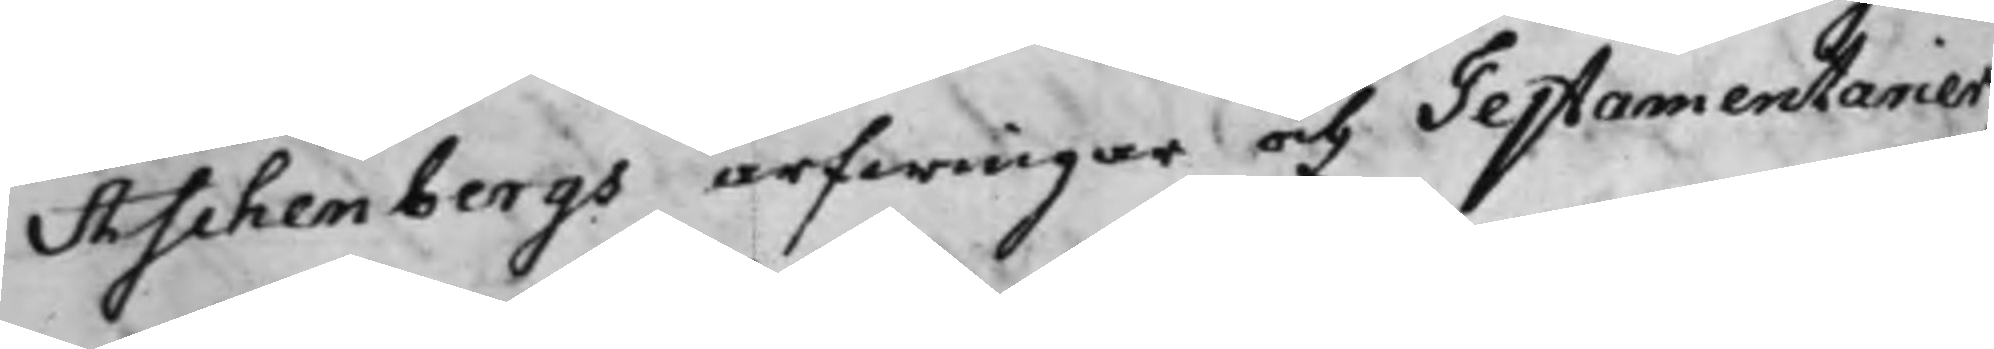Aschenbergs arfwingar och Testamentarier,
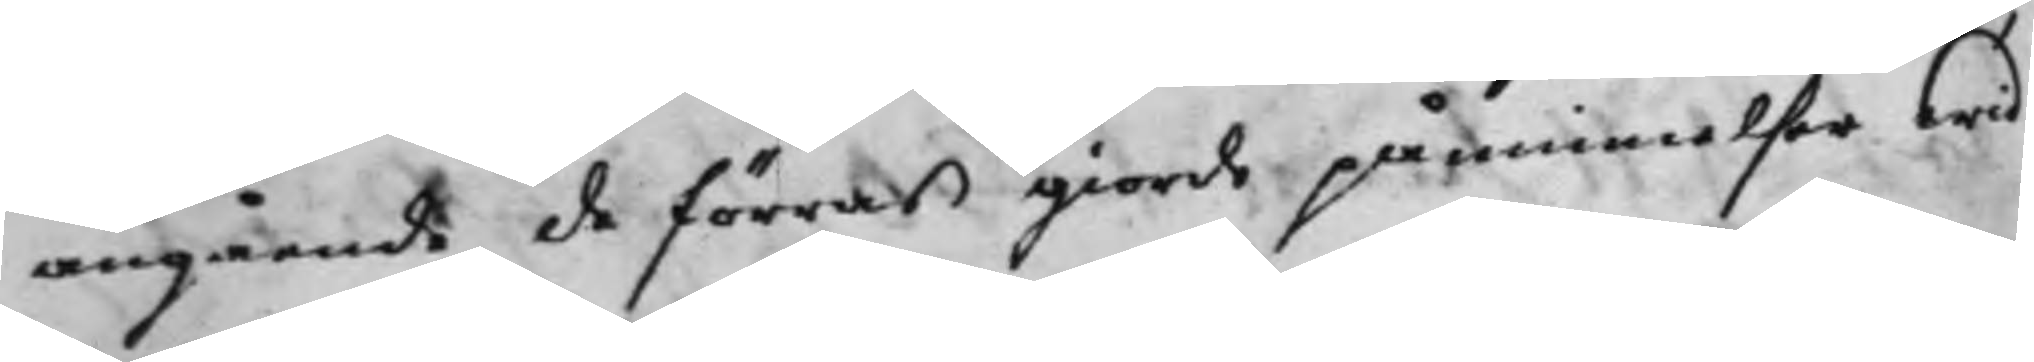angående de förras giorde påminnelser wid
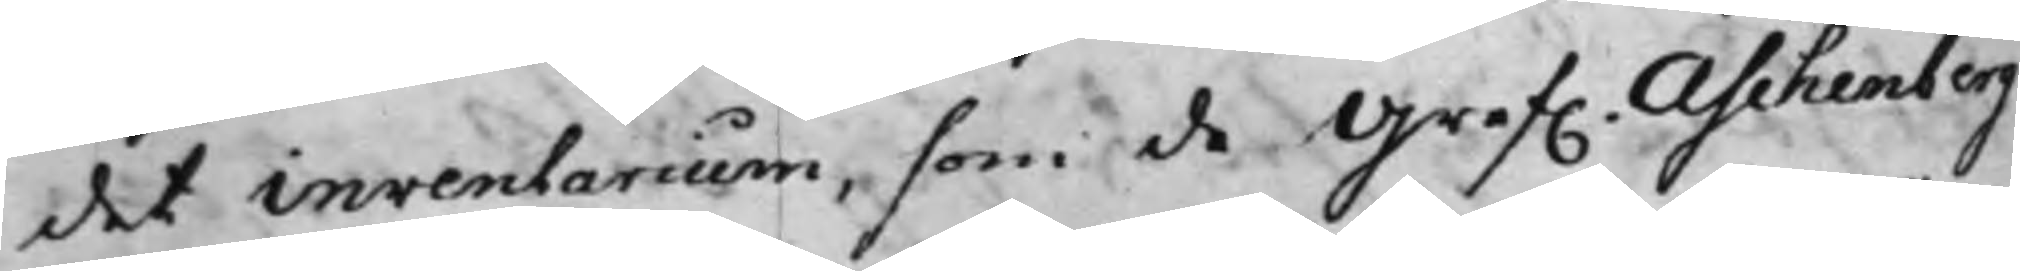det inventarium, som de Gref. Aschenberg¬
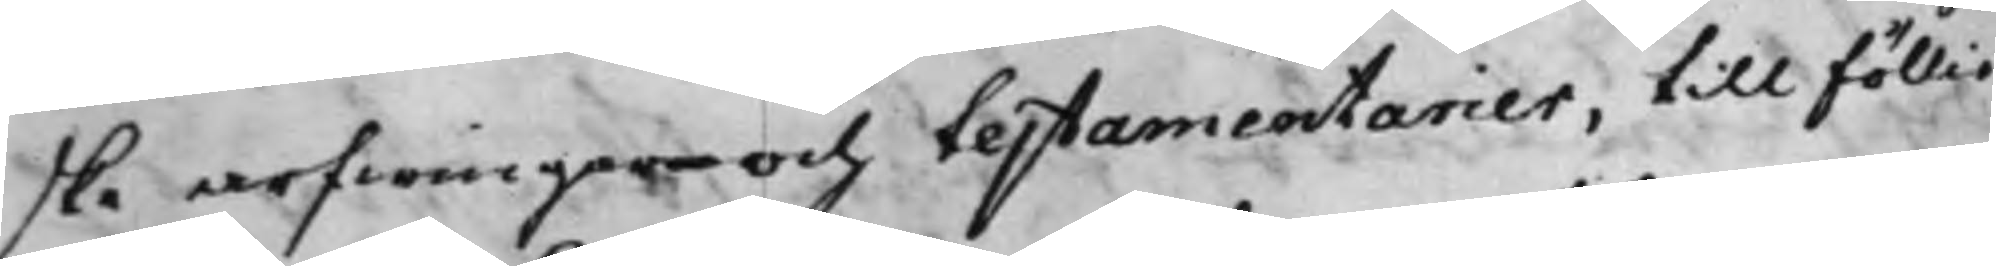ske arfwingar och testamentarier, till Föllie
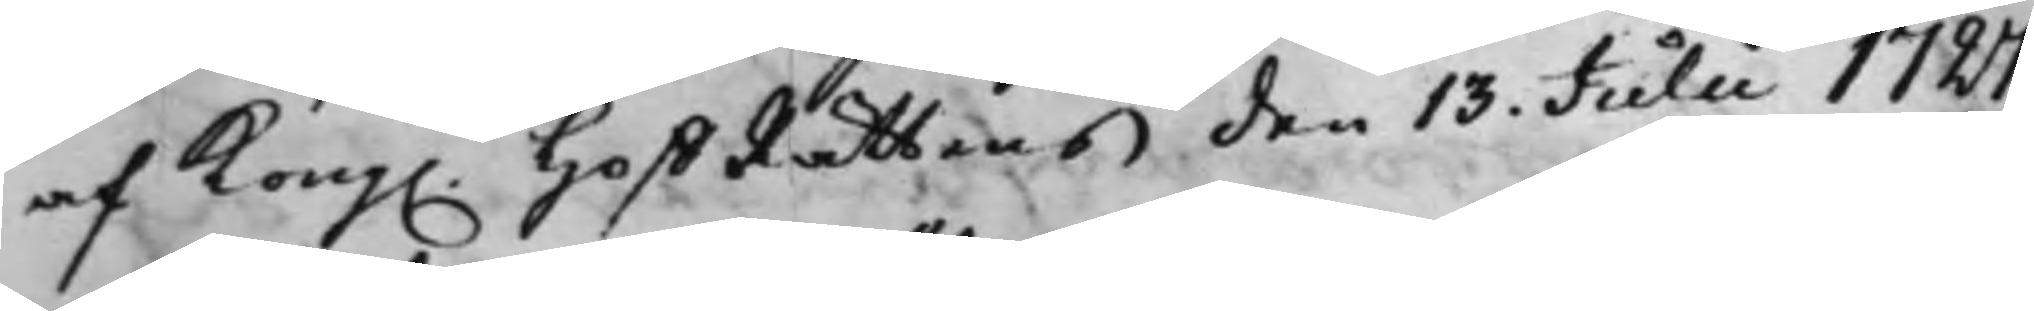af Kong. HoffRättens den 13 Julii 1727.
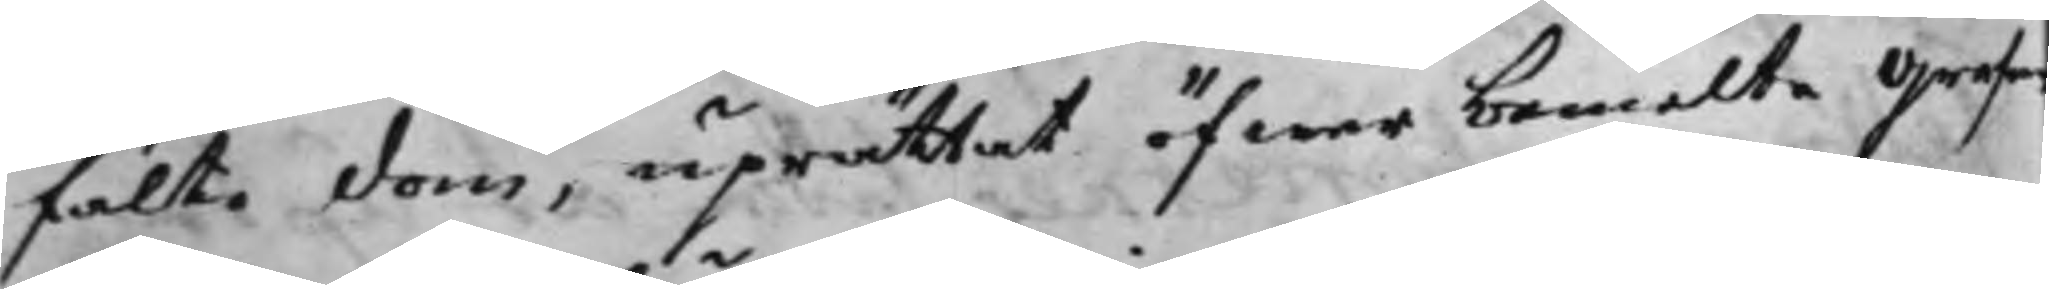fälte dom, uprättat öfwer bemelte Grefwe
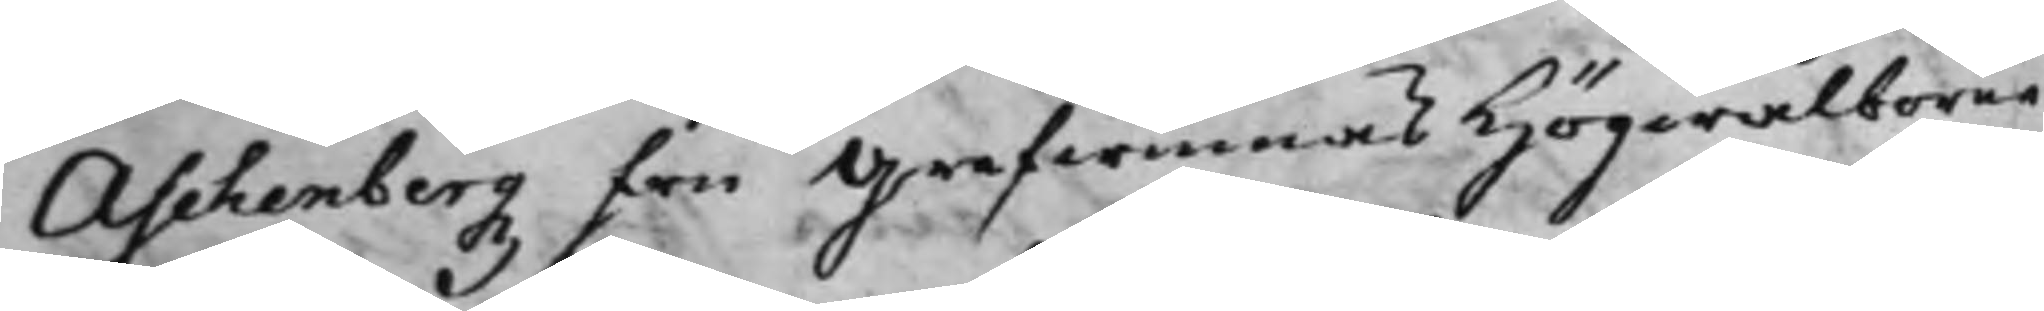Aschenbergz Fru Grefwinnas Högwälborne
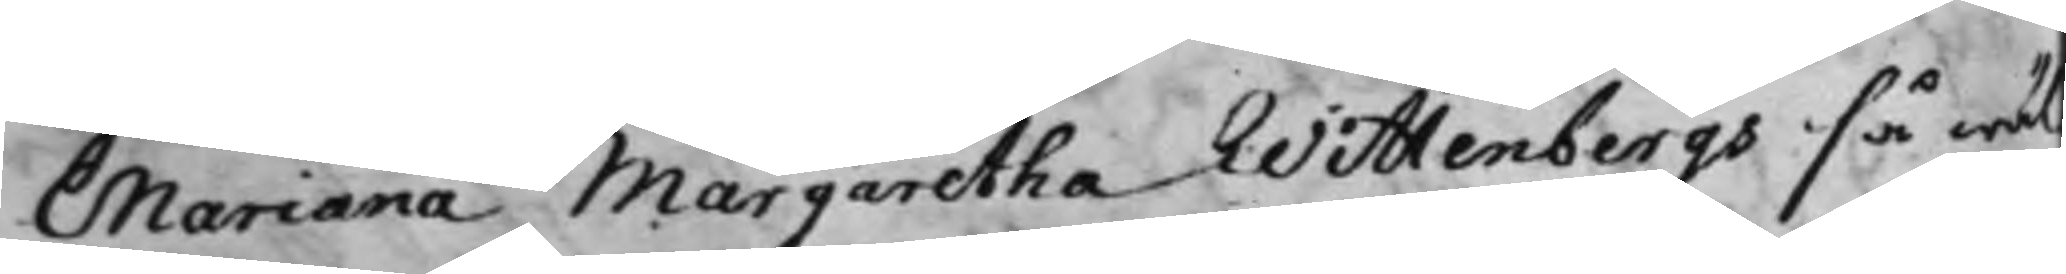Mariana Margaretha Wittenbergs så wäl
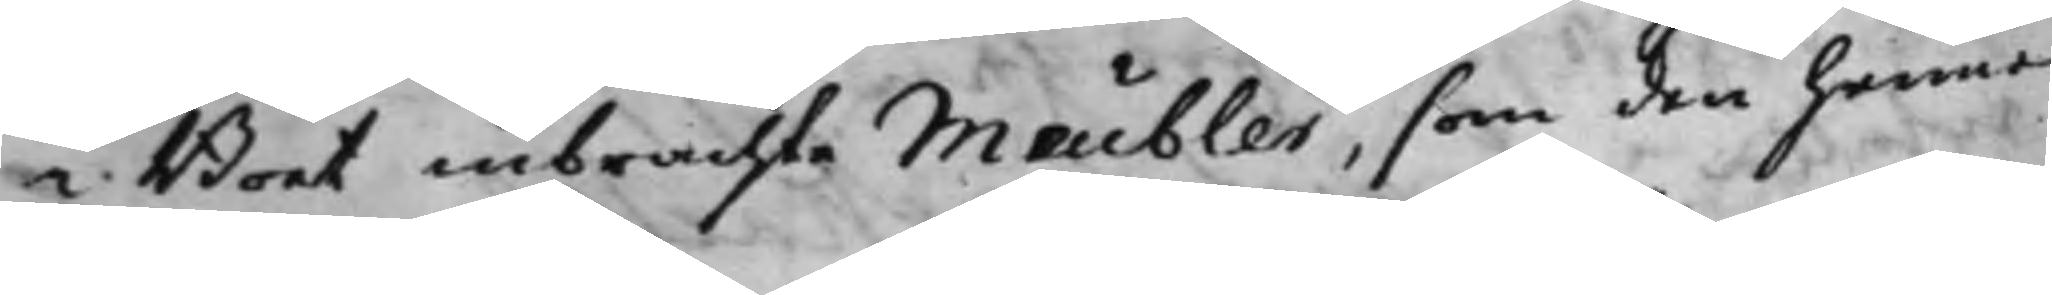i Boet inbrachte Meubler, som den henne
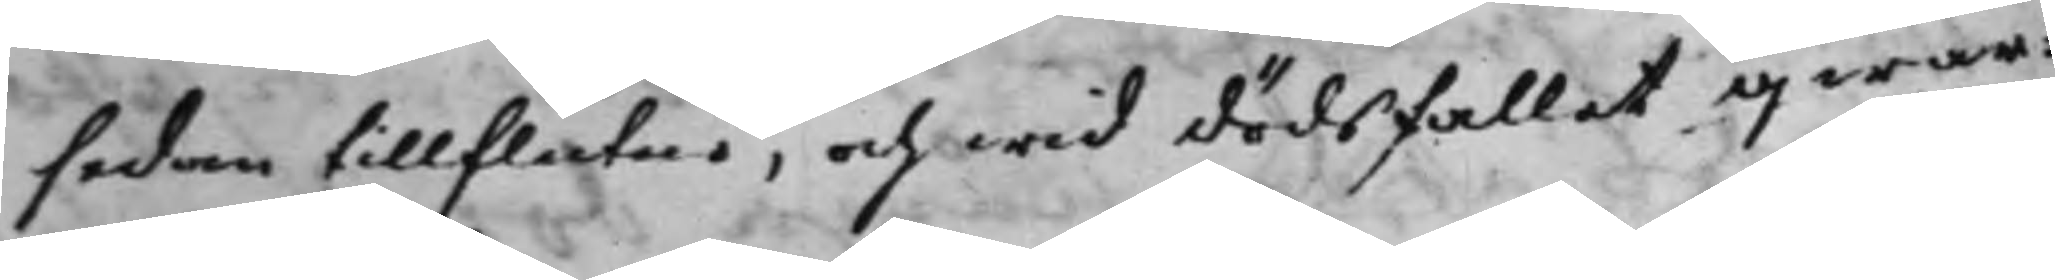sedan tillflutne, och wid dödsfallet qwar¬
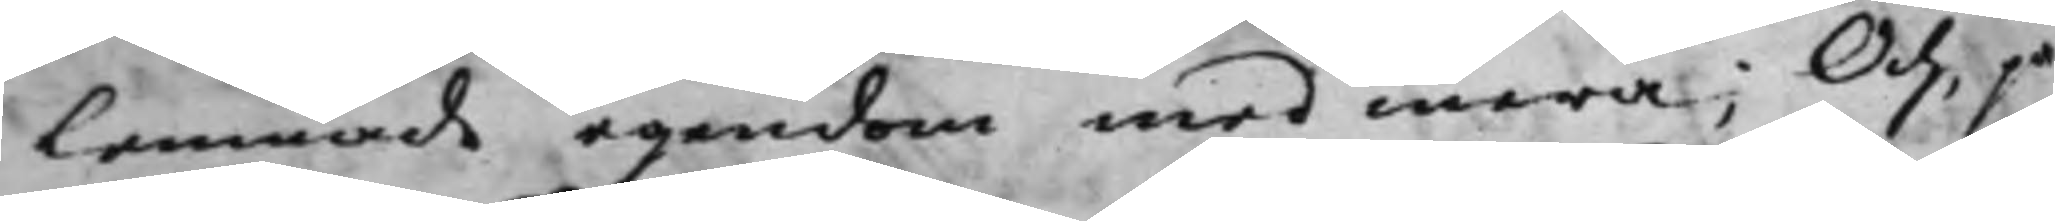lemnade egendom med mera; Och, på
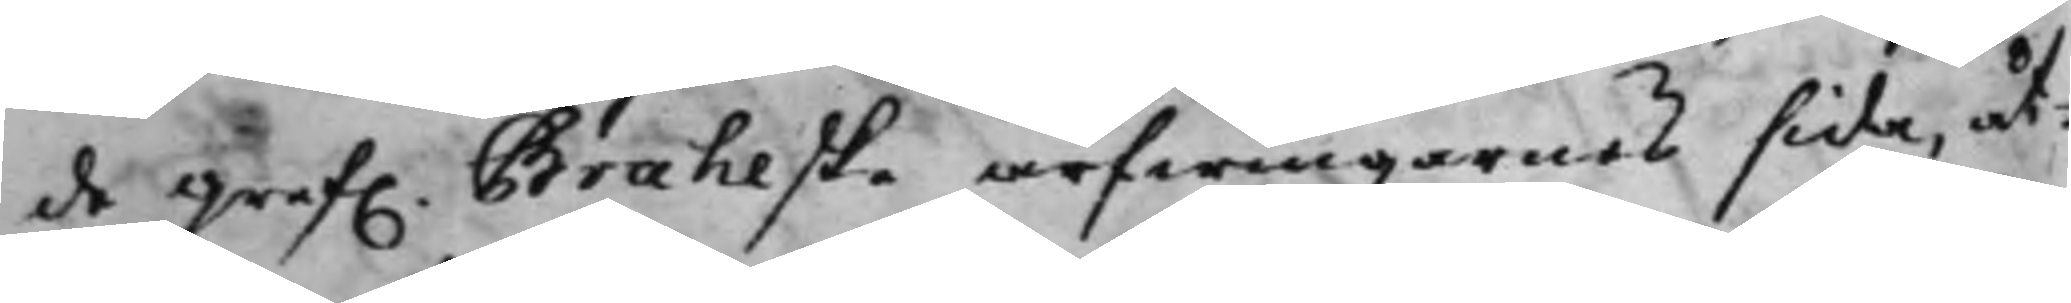de Gref. Braheske arfwingarnes sida, åt¬
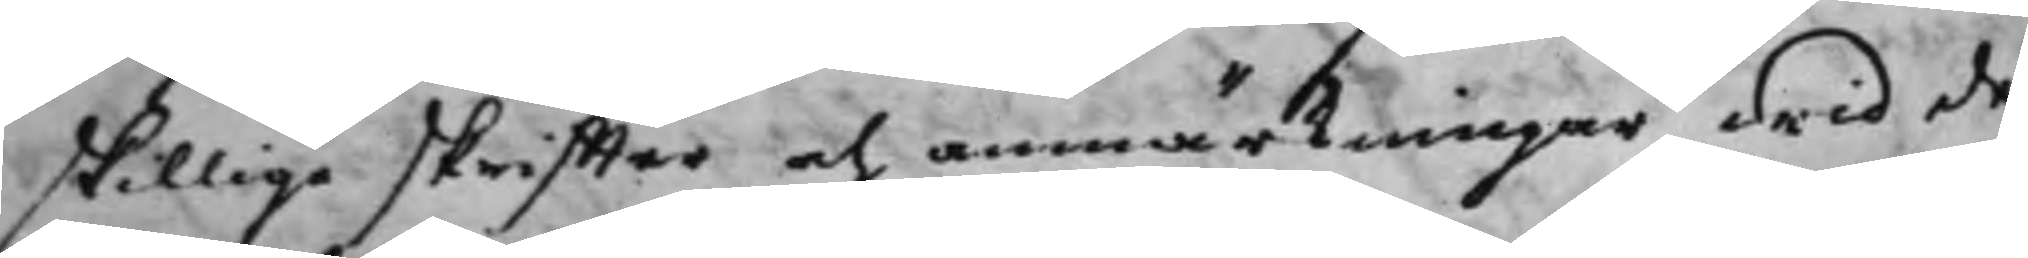skillige skriffter och anmärkningar wid de,
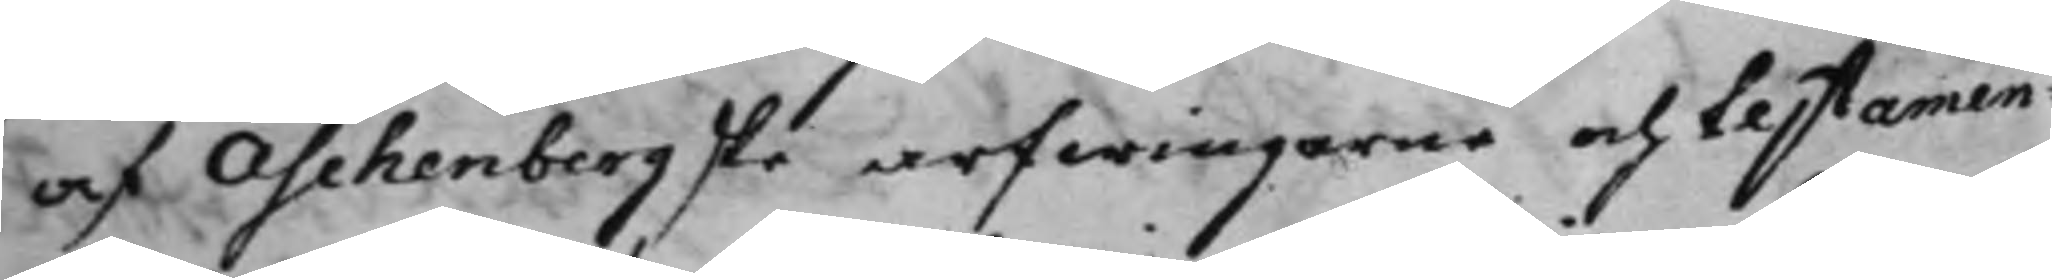af Aschenbergske arfwingarne och testamen¬
